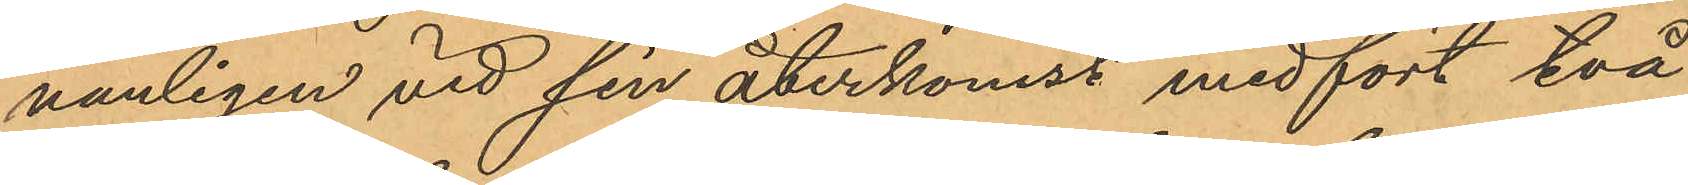vanligen vid sin återkomst medfört två
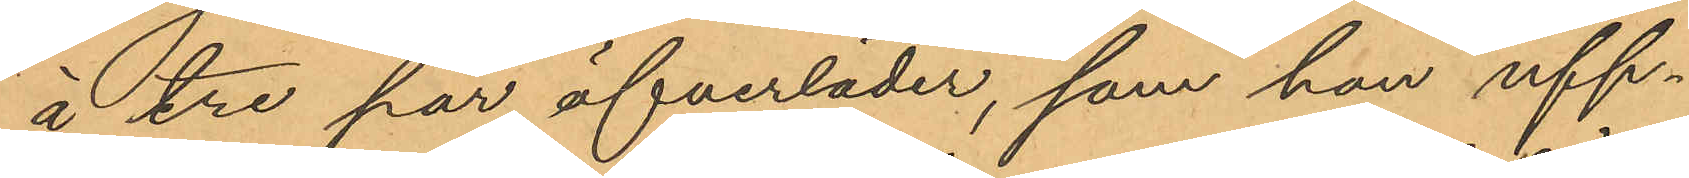à tre par öfverläder, som han upp¬
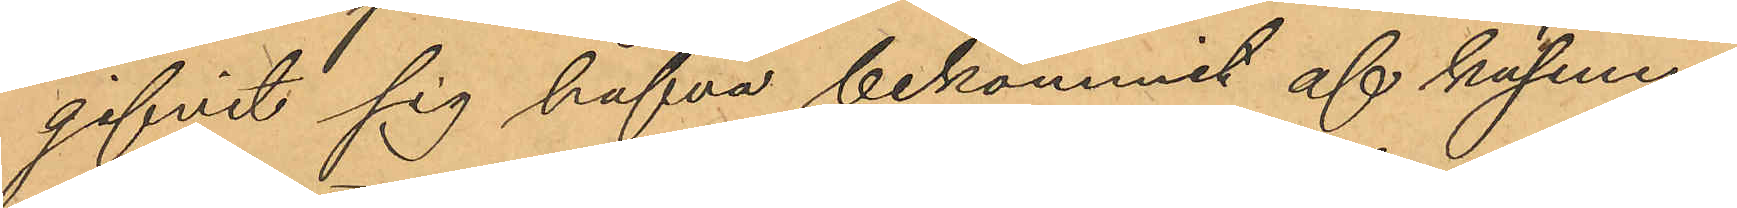gifvit sig hafva bekommit af kusinen;
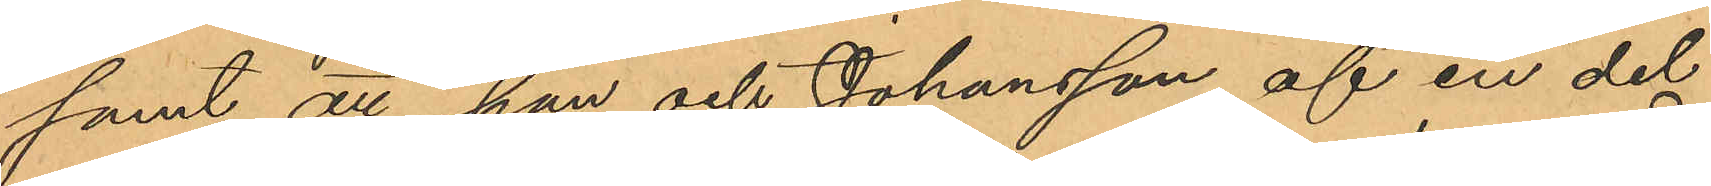samt att han och Johansson af en del
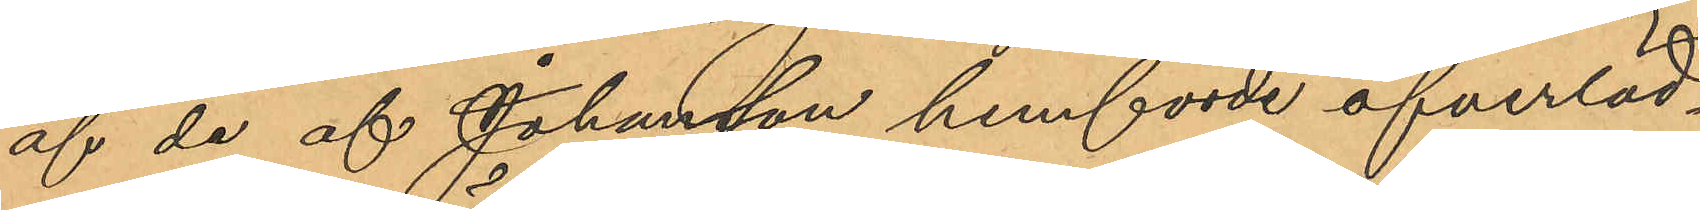af de af Johansson hemförde öfverläd¬
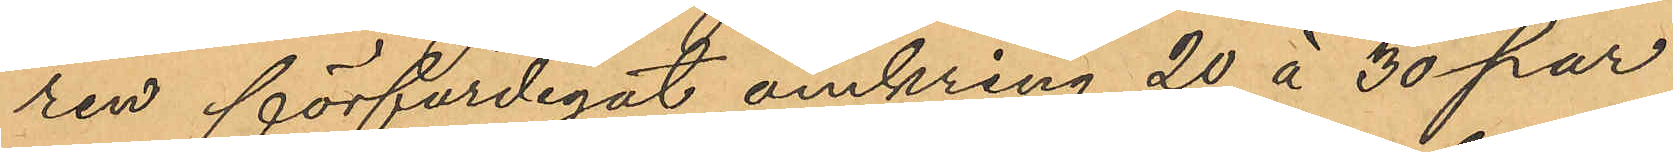ren förfärdigat omkring 20 à 30 par
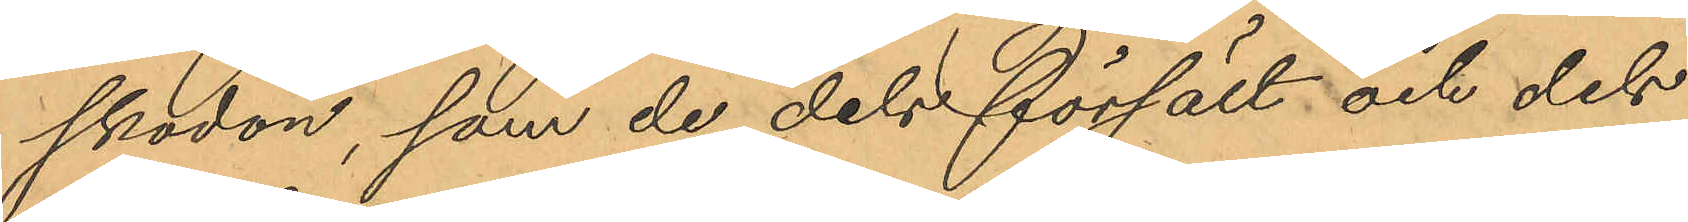skodon, som de dels försålt och dels
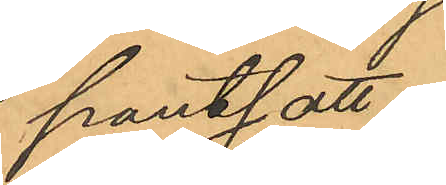pantsatt.
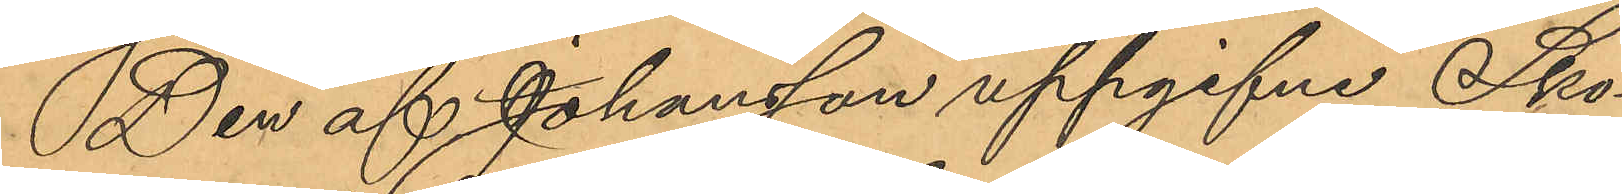Den af Johansson uppgifne Sko¬
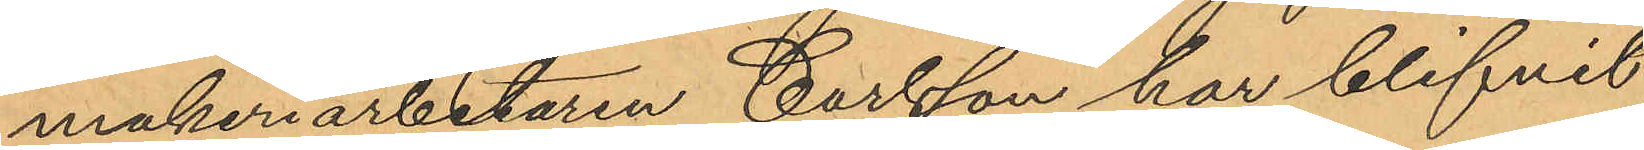makeriarbetaren Carlsson har blifvit
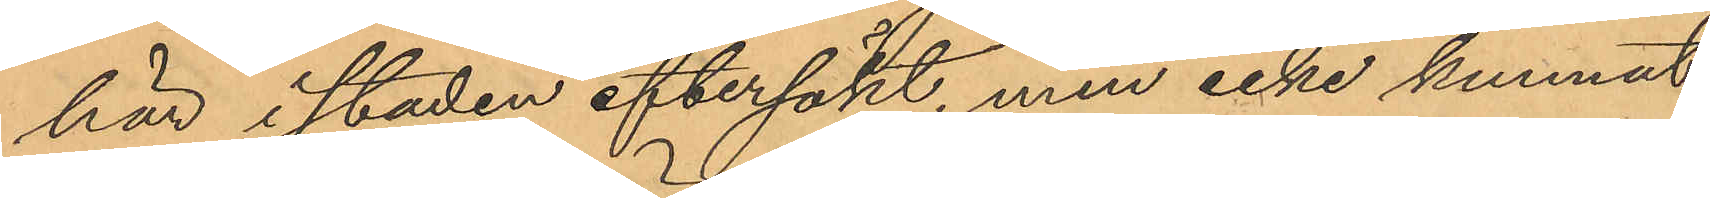här i staden eftersökt, men icke kunnat
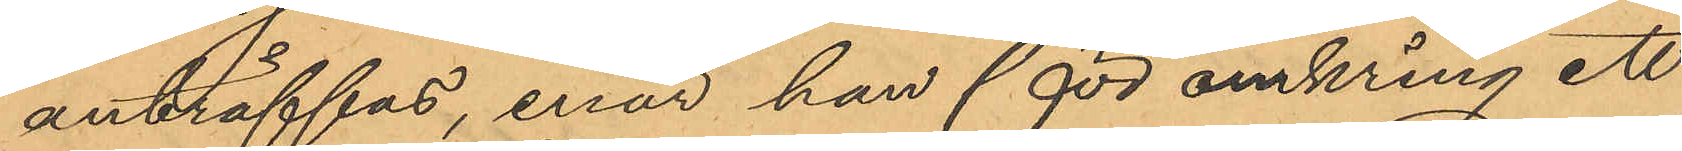anträffas, enär han för omkring ett
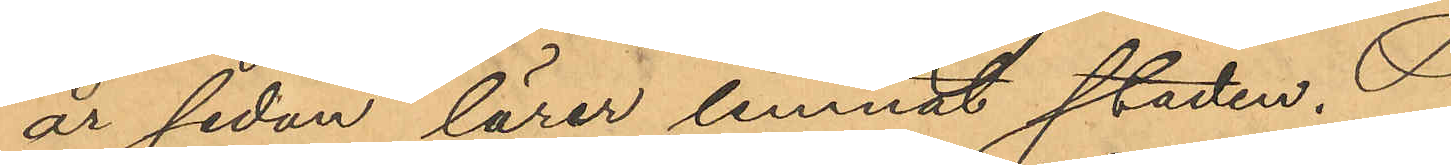år sedan lärer lemnat staden.
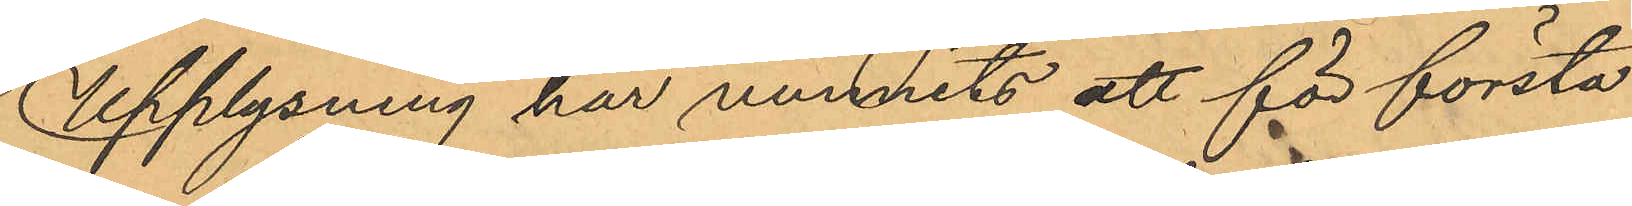Upplysning har vunnits att för första
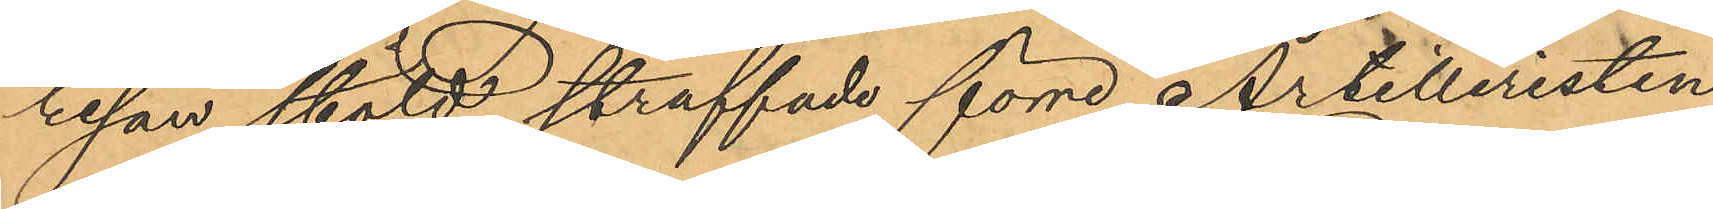resan stöld straffade förre Artilleristen
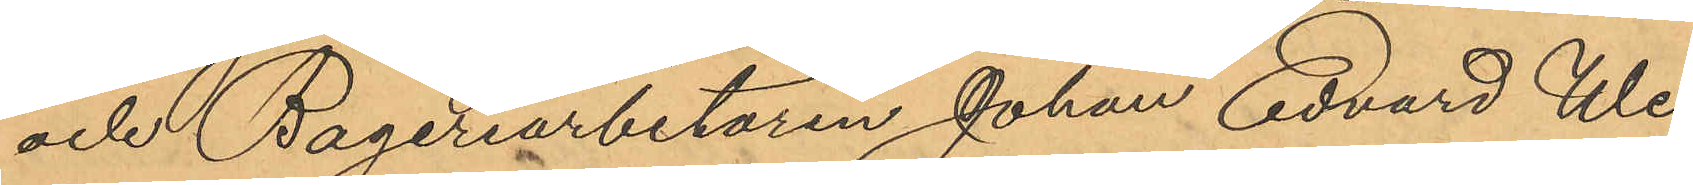och Bageriarbetaren Johan Edvard We¬
